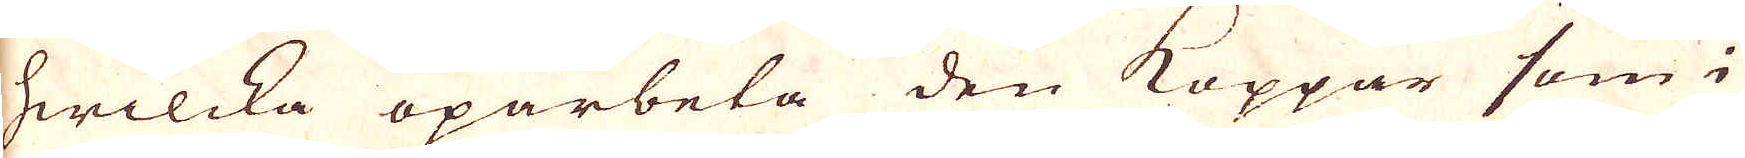hwilcka oparbeta den Koppar som i
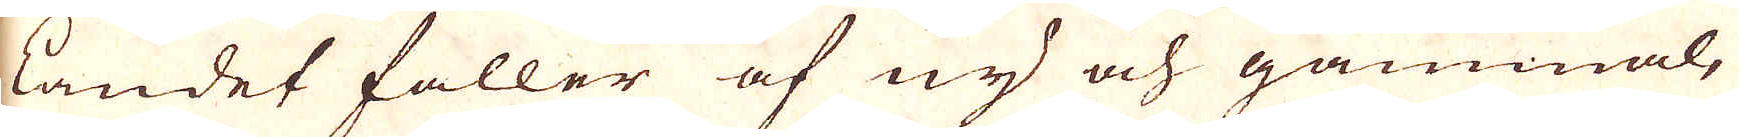landet faller af ny och gammal,
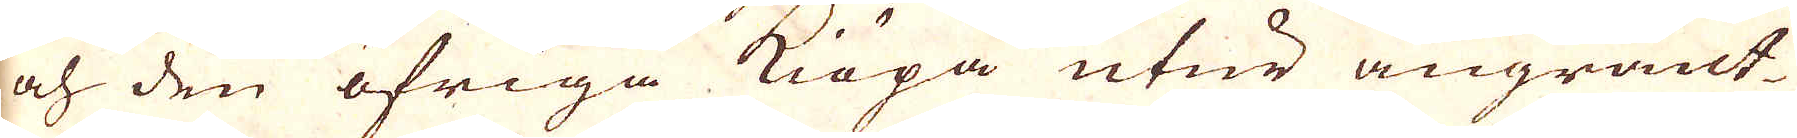och den öfriga kiöpa utur angränt-
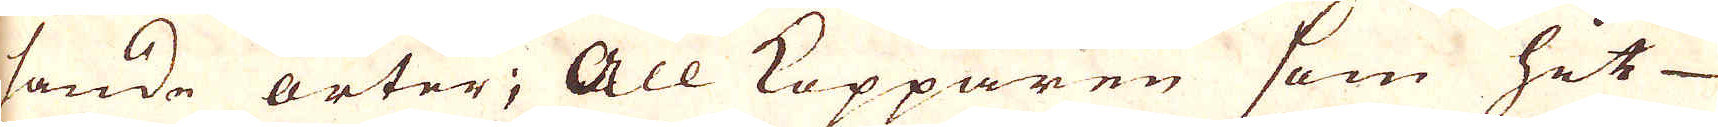sande orter; All Kopparen som hit
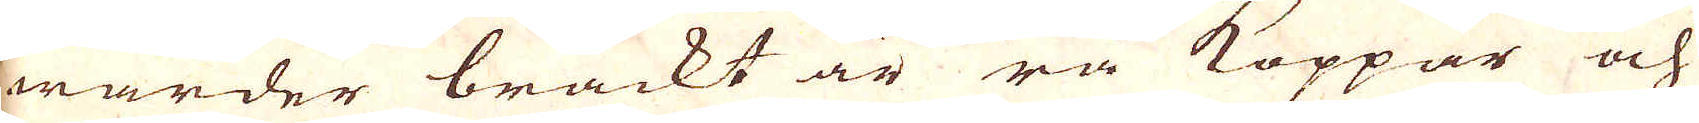warder brackt är rå Koppar och
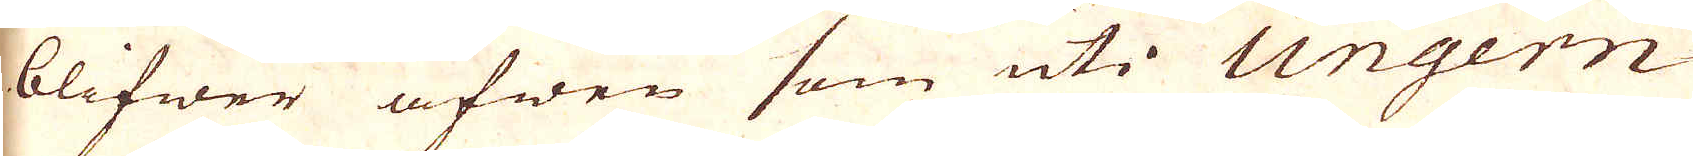blifwer äfwen som uti Ungern
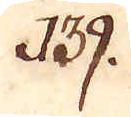139.
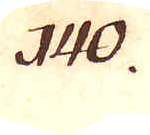140.
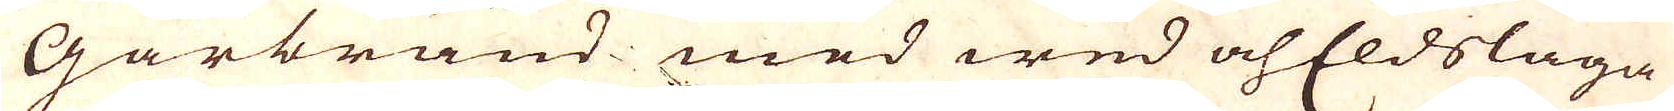Gårbränd med wed och Eldslåga
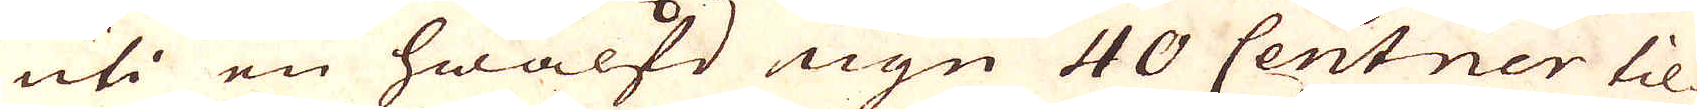uti en hwälfd ugn 40 Centner til-
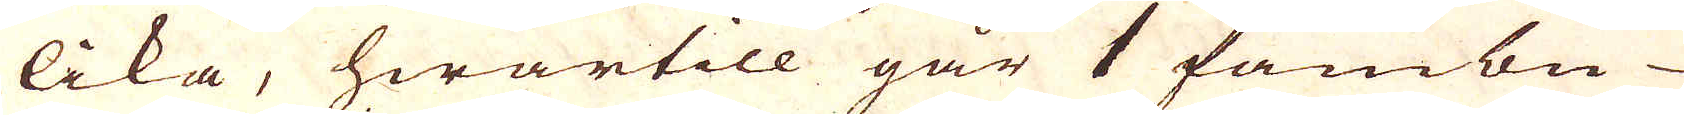lika, hwartill går 1 fambn
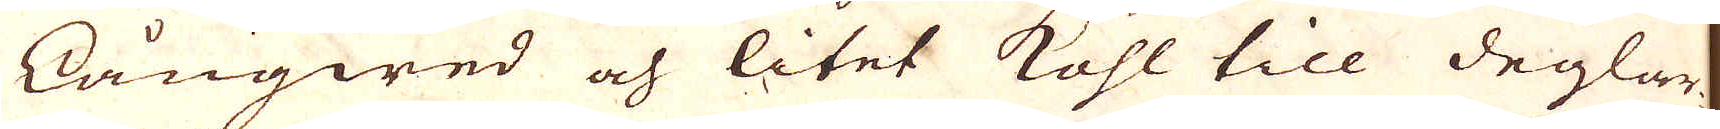långwed och litet kohl till deglar-
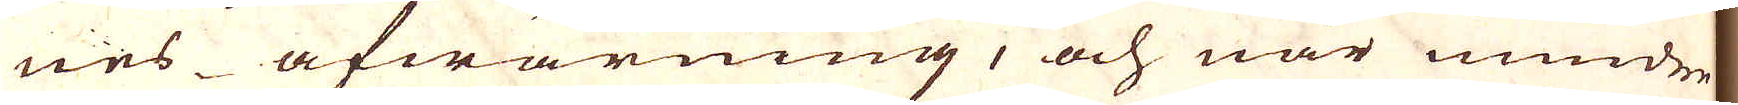nes afwärning, och när mindre
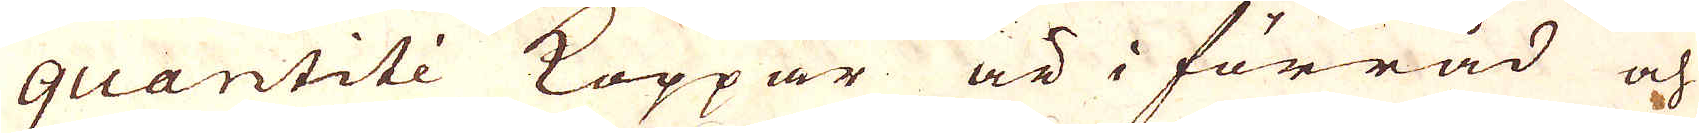quantité Koppar är i förråd och
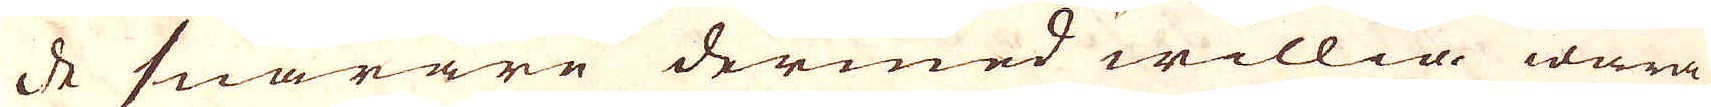de snarare dermed willia wara
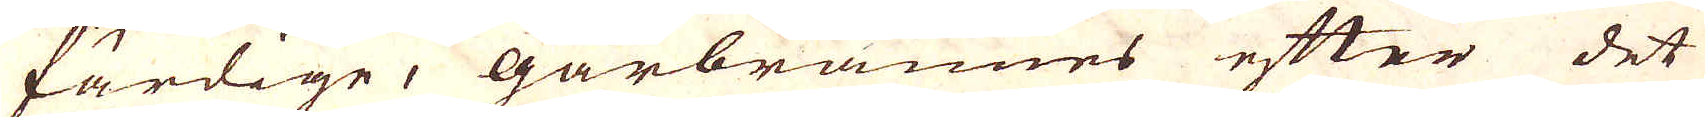färdige, Gårbrännes efter det
